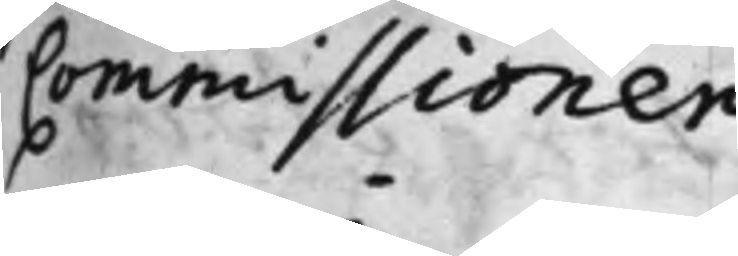Commissionen.
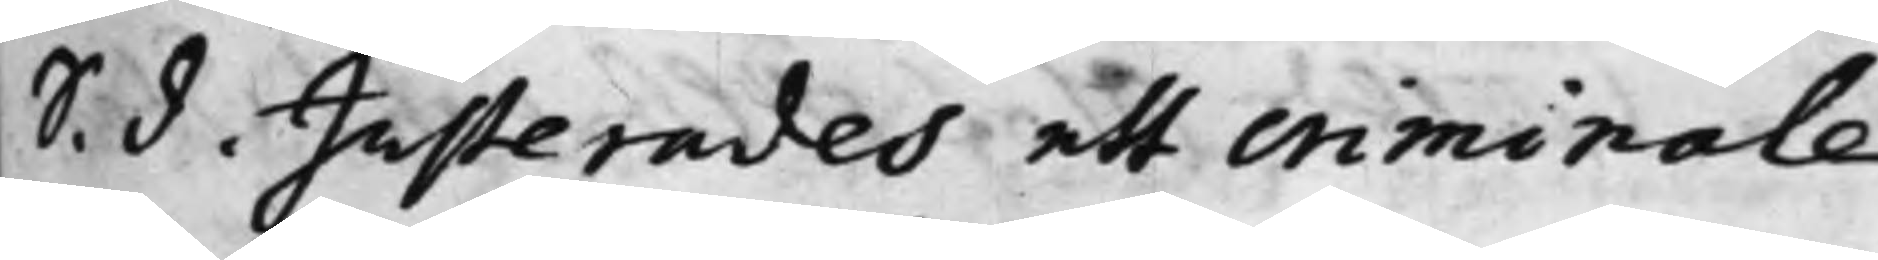S. d. Justerades ett criminale
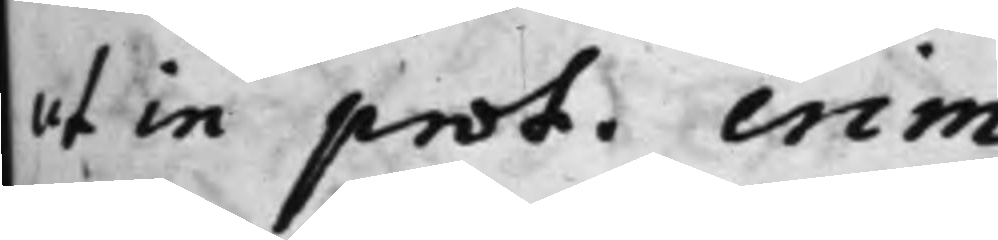ut in prot. crim.
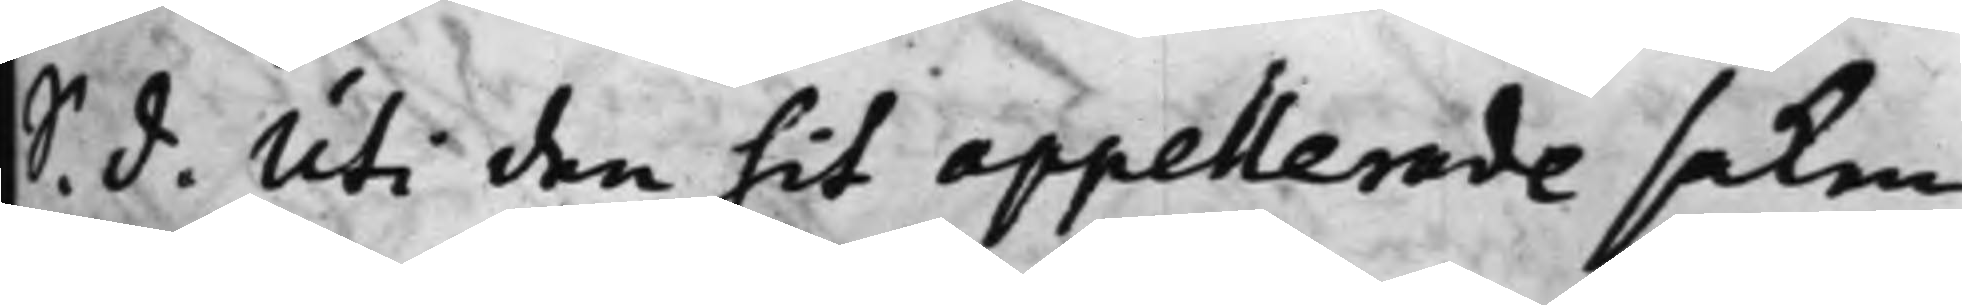S. d. Uti den hit appellerade saken
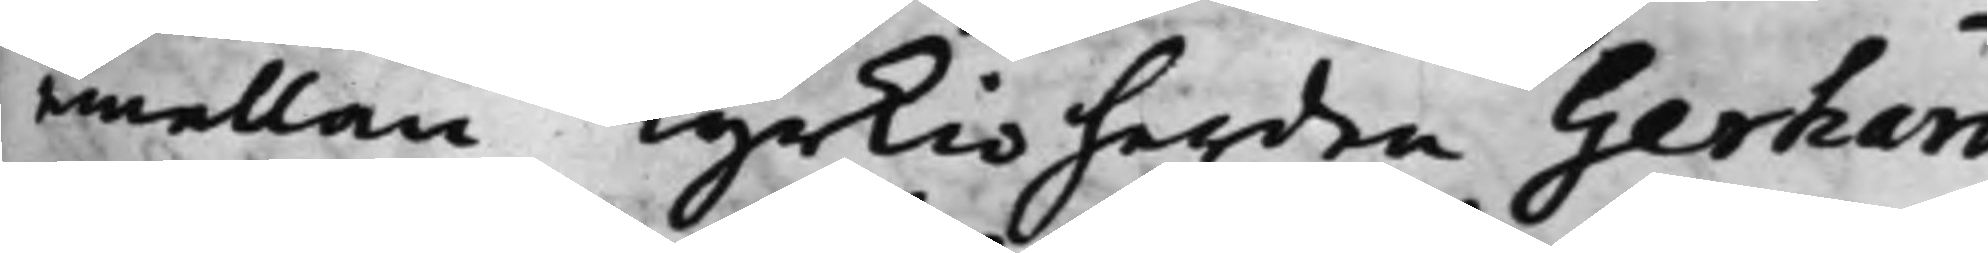emellan Kyrkioherden Gerhard
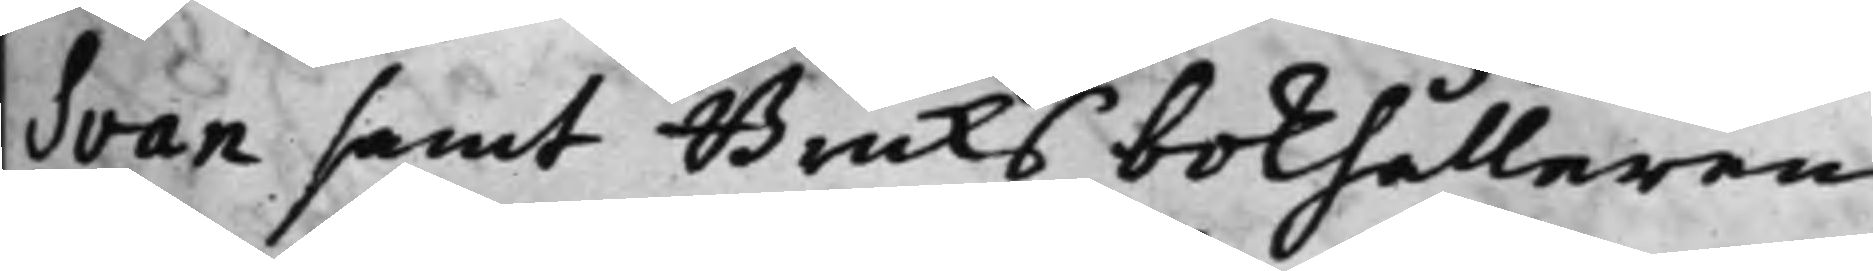Svan samt Bruks bokhållaren
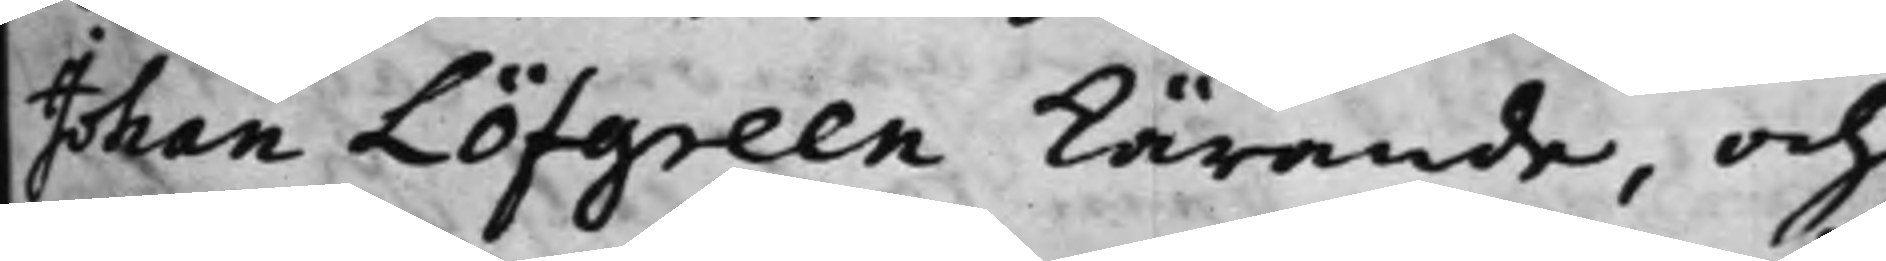Johan Löfgreen kärande, och
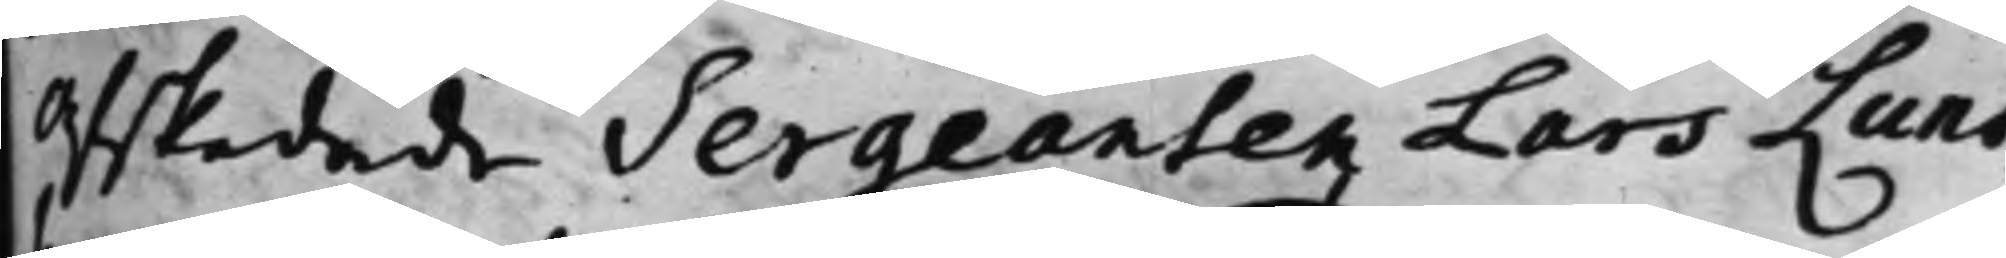afskedade Sergeanten Lars Lund¬
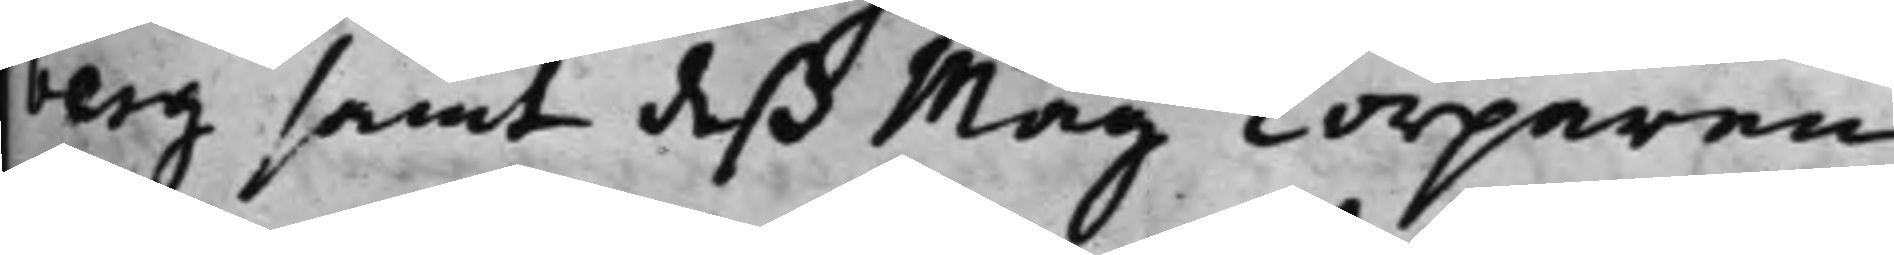berg samt deß Måg Torparen
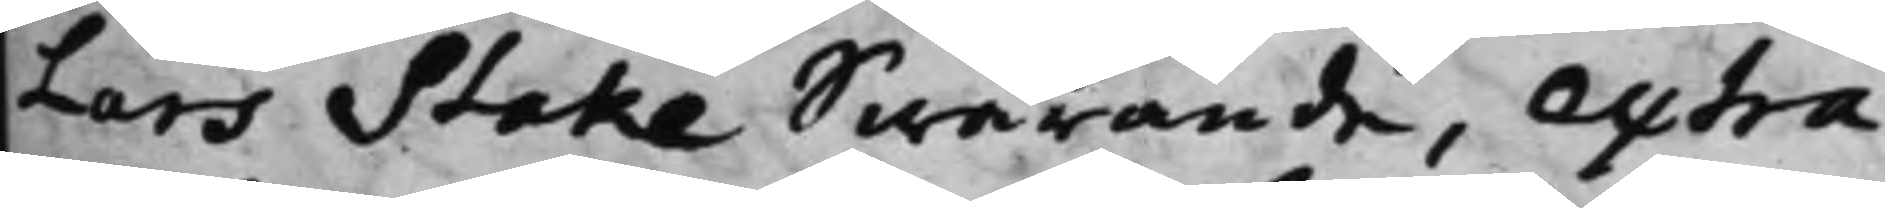Lars Stake Swarande, extra¬
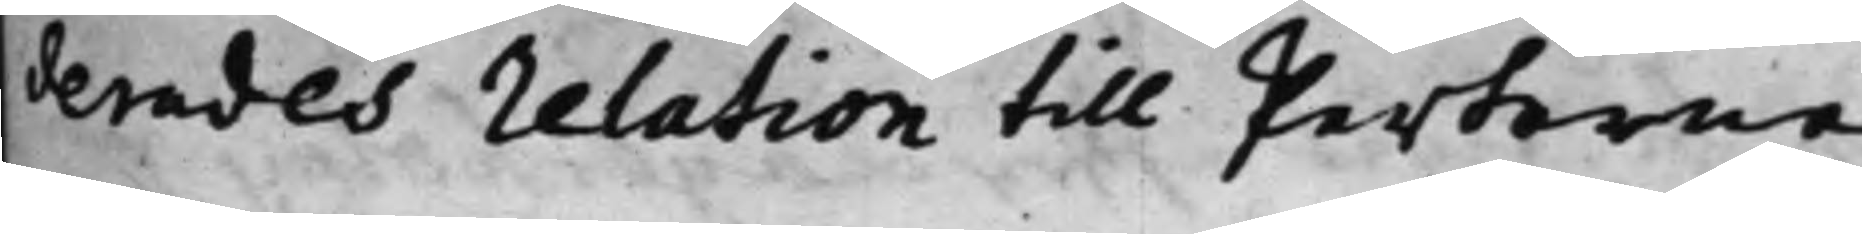verades relation till Parterne
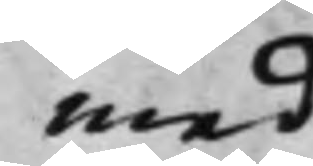med
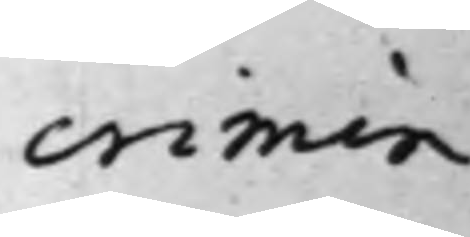crimin.
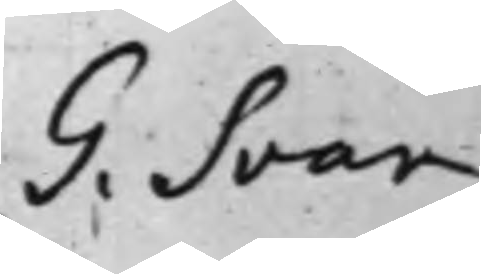G. Svan
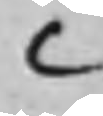C
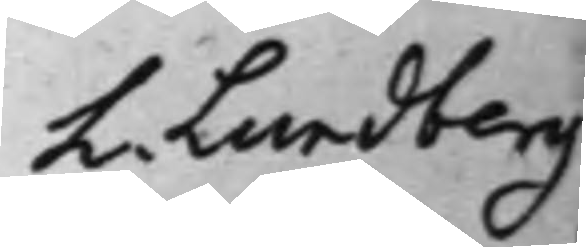L. Lundberg
